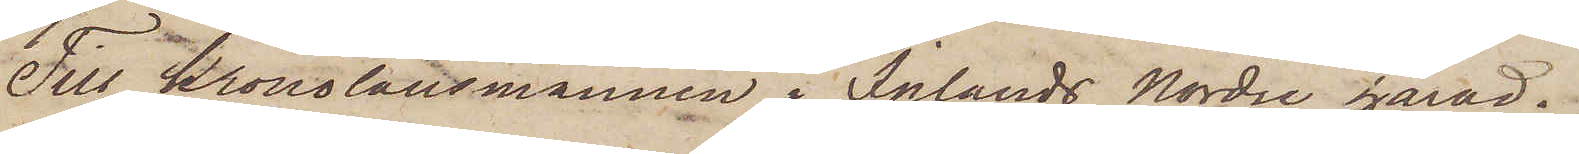Till Kronolänsmannen i Inlands Nordre härad.
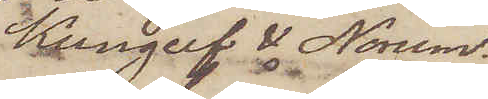Kungelf & Norum.
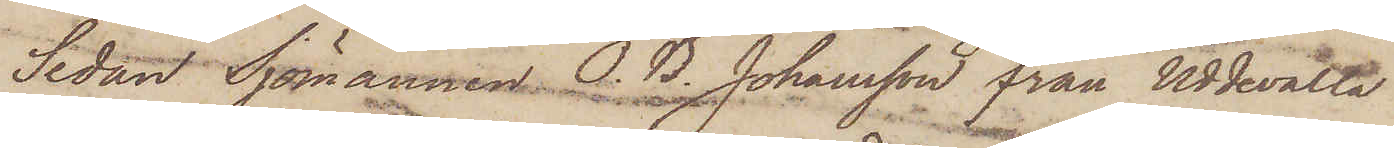Sedan Sjömannen O. B. Johansson från Uddevalla
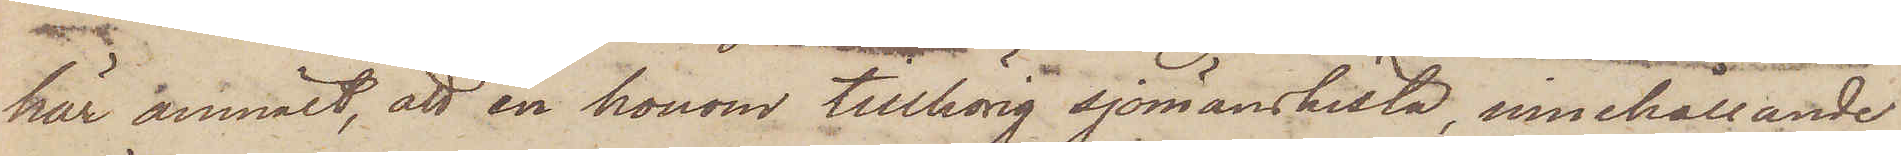här anmält, att en honom tillhörig sjömanskista, innehållande
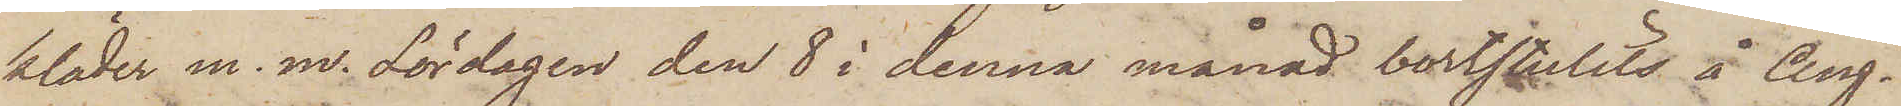kläder m. m. Lördagen den 8 i denna månad bortstulits å ång¬
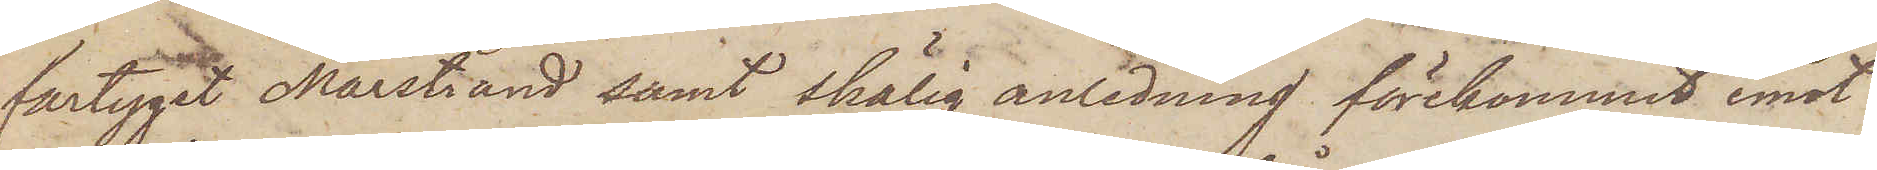fartyget Marstrand samt skälig anledning förekommit emot
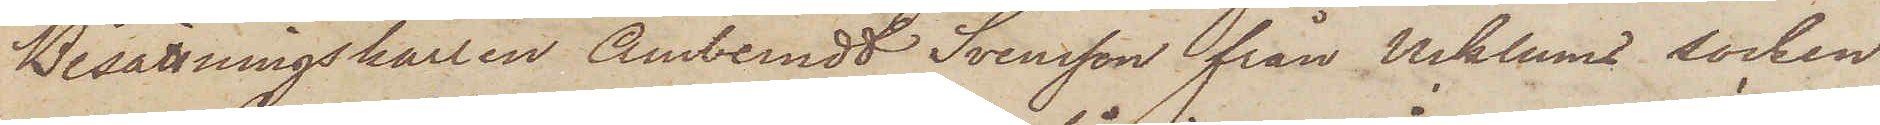Besättningskarlen Amberndt Svensson från Ucklums socken
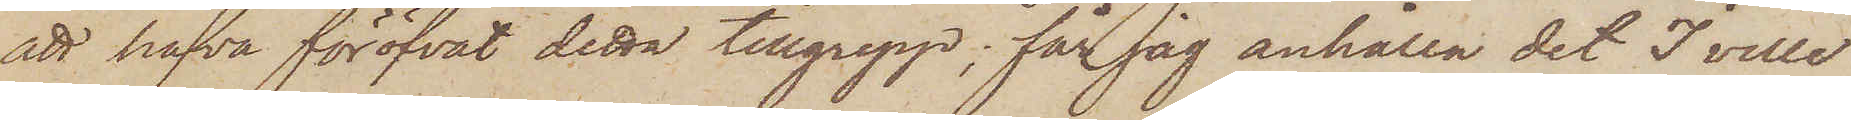att hafva föröfvat detta tillgrepp; får jag anhålla det I ville
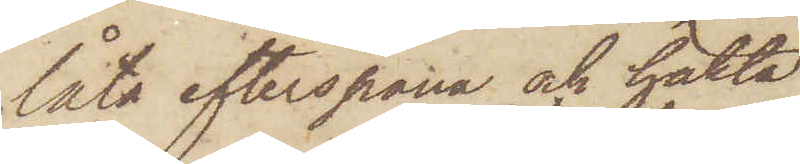låta efterspana och häkta
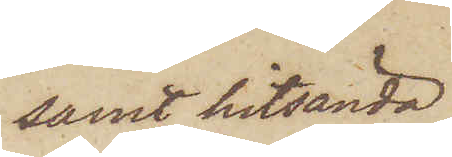samt hitsända
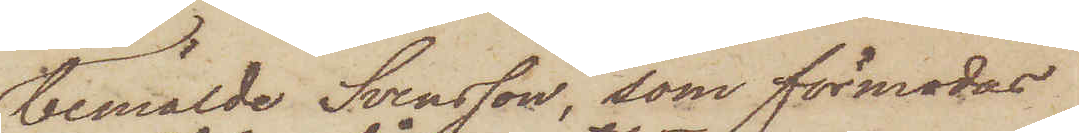bemälde Svensson, som förmodas
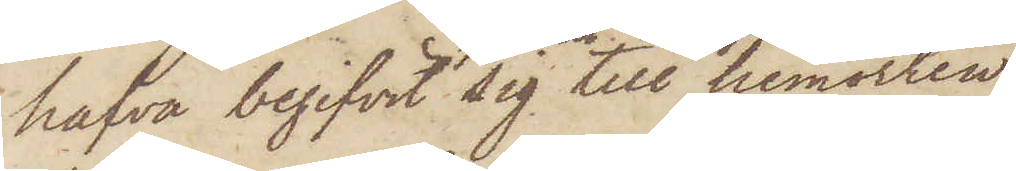hafva begifvit sig till hemorten,
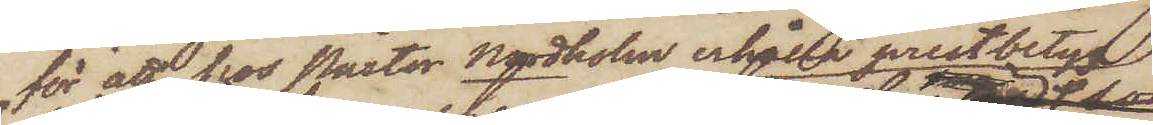för att hos Pastor Nordholm erhålla prestbetyg.
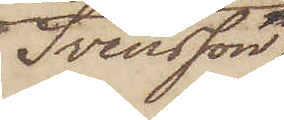Svensson,
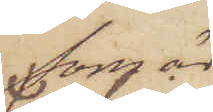som är
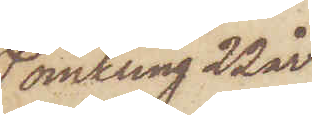omkring 22 år
